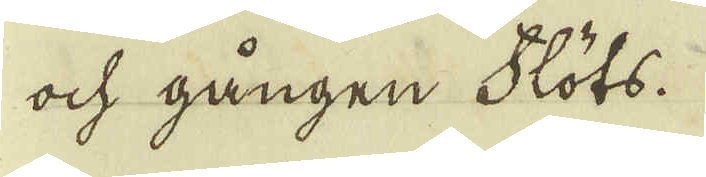och gången Flöts.
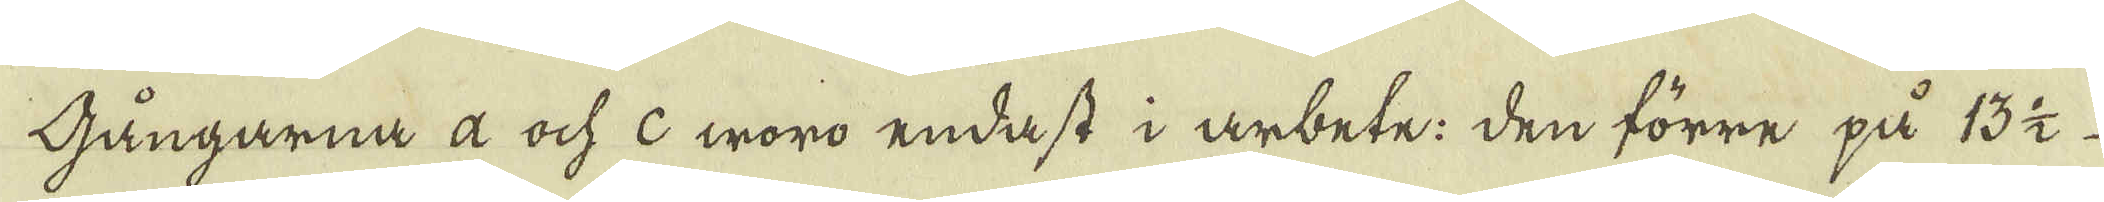Gångarna a och c woro endast i arbete: Den förre på 13 1/2
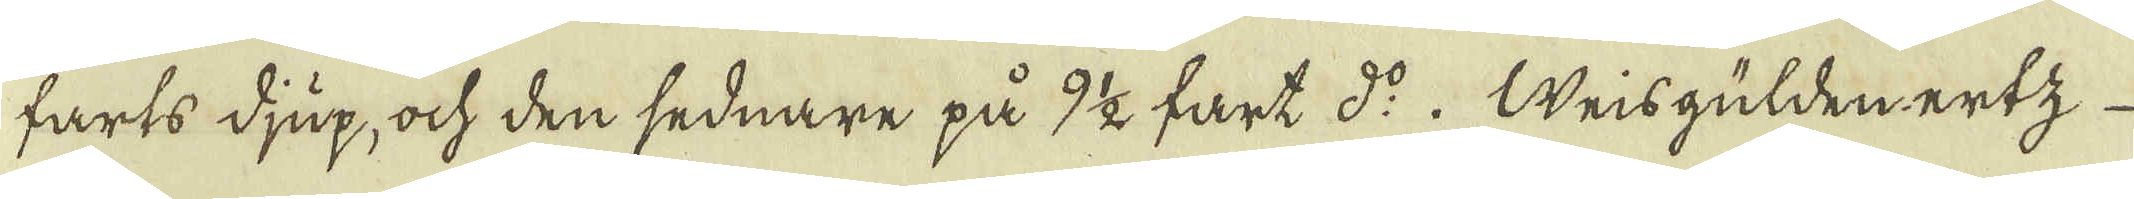farts djup, och den sednare på 9 1/2 fart d:o. Weisgülden ertz
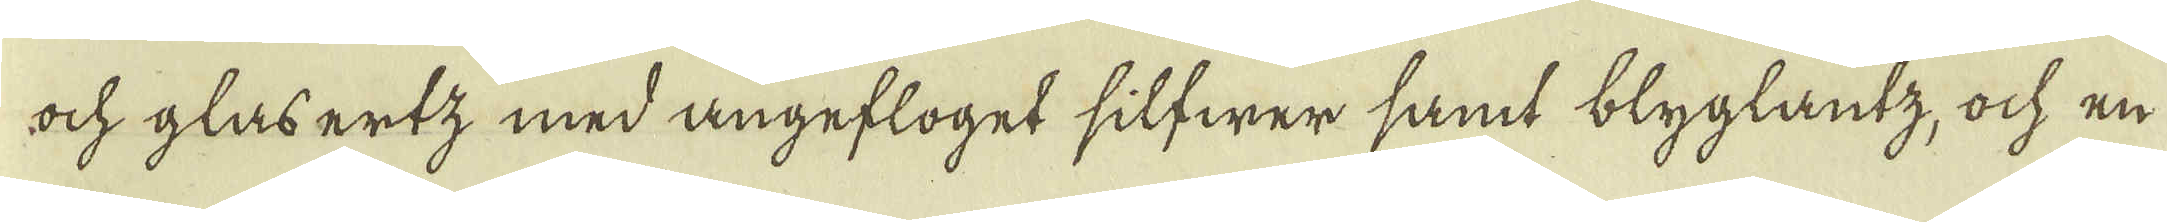och glasertz med angefloget silfwer samt blyglantz, ock en
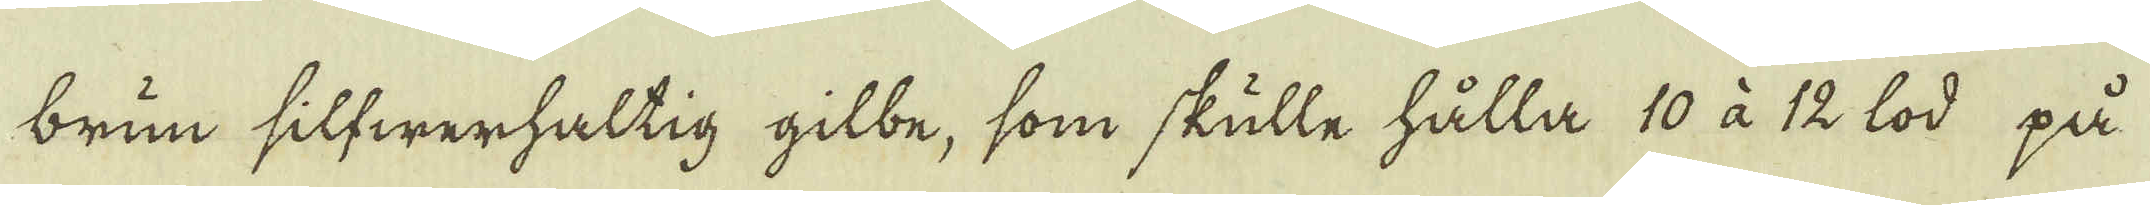brun silfwerhaltig gilbe, som skulle hålla 10 à 12 lod på
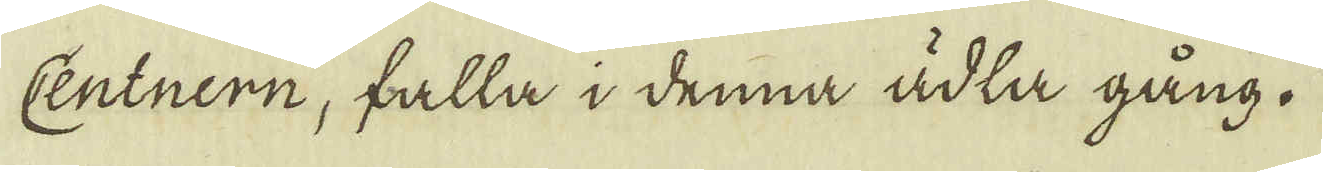Centnern, falla i denna ädla gång.
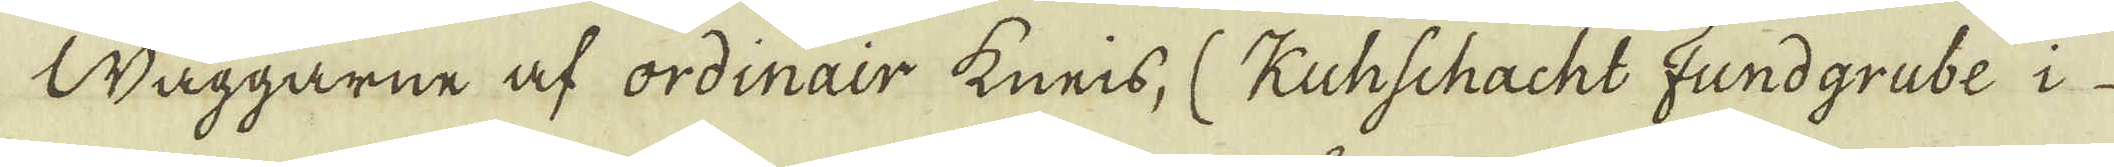Wäggarne af ordinair kneis, (Kuhschacht Fundgrube i
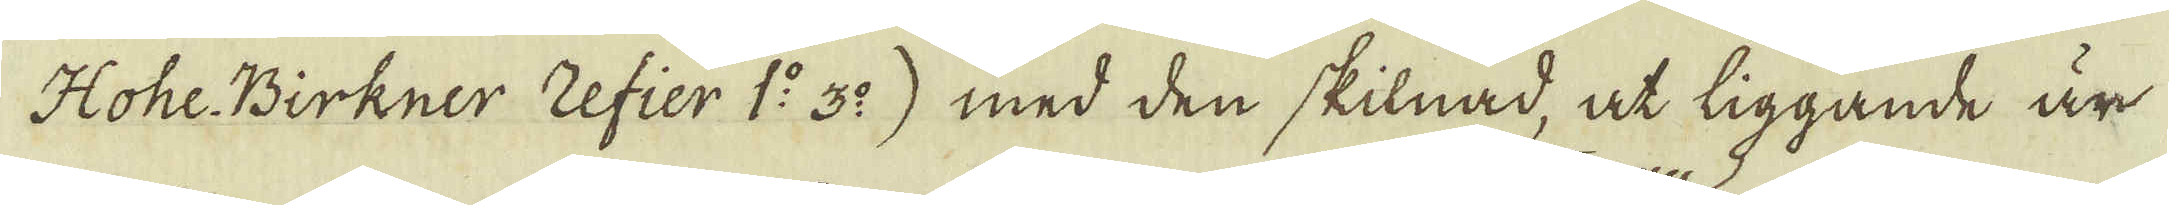Hohe Birkner Zefier 1:o 3:o) med den skilnad, at liggande är
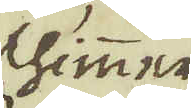schimmer
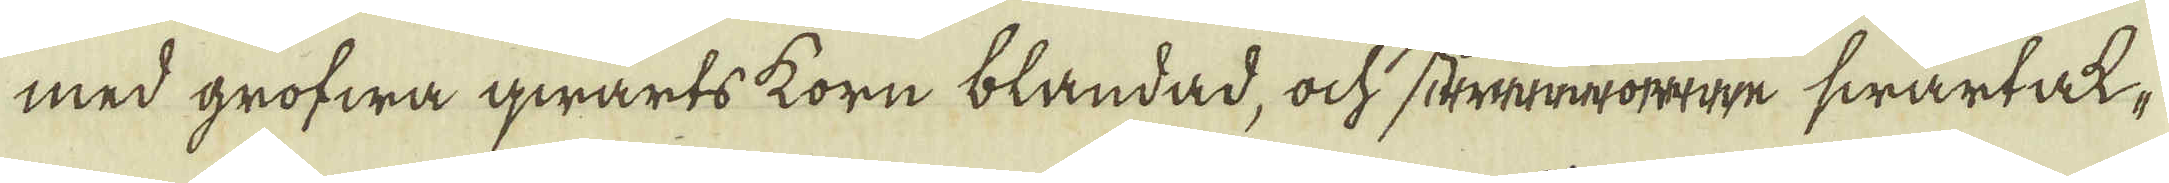med grofwa qwarts korn blandad, ock strmroene swartak-
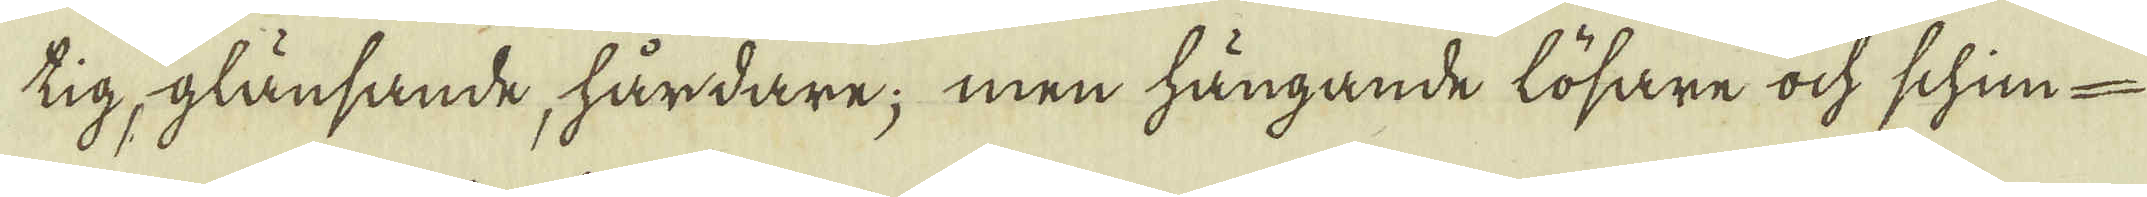tig, glänsande, hårdare; men hängande lösare ock schim-
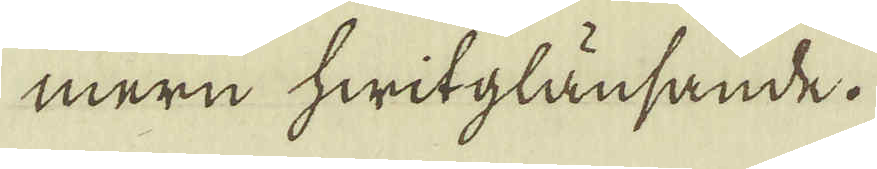mern hwitglänsande.
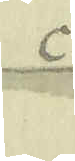c
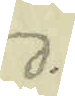d.
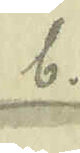b.
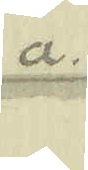a.
